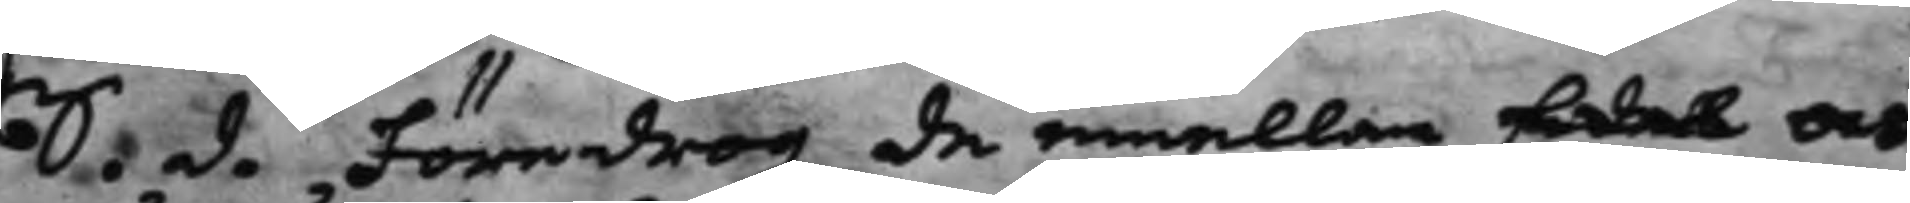S. d. Föredrog de emellan Edel och
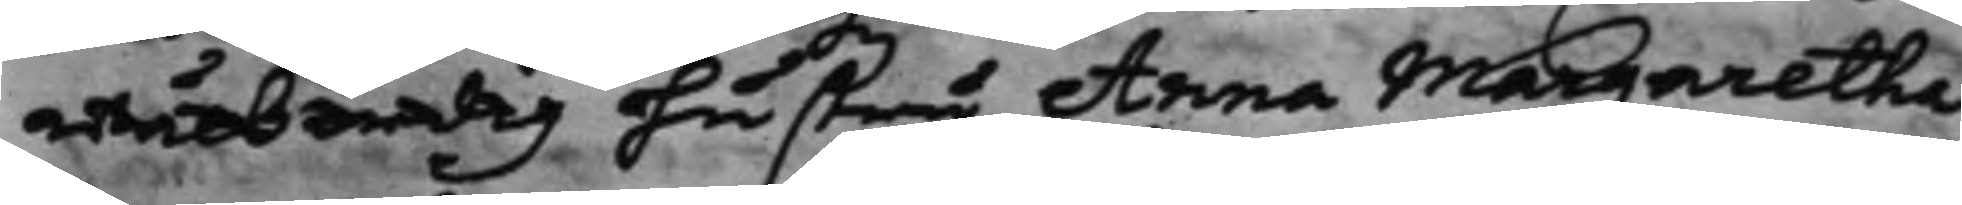wälbördig hustru Anna Margaretha
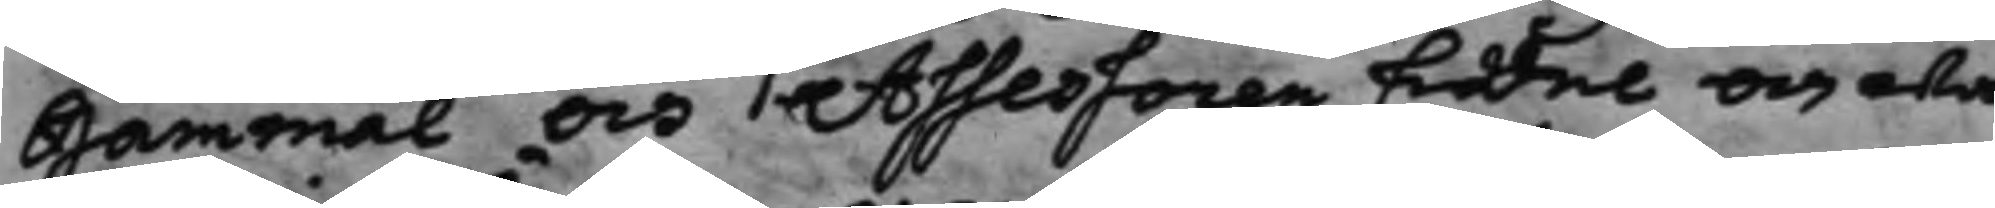Gammal och Assessoren Edel och wäl¬
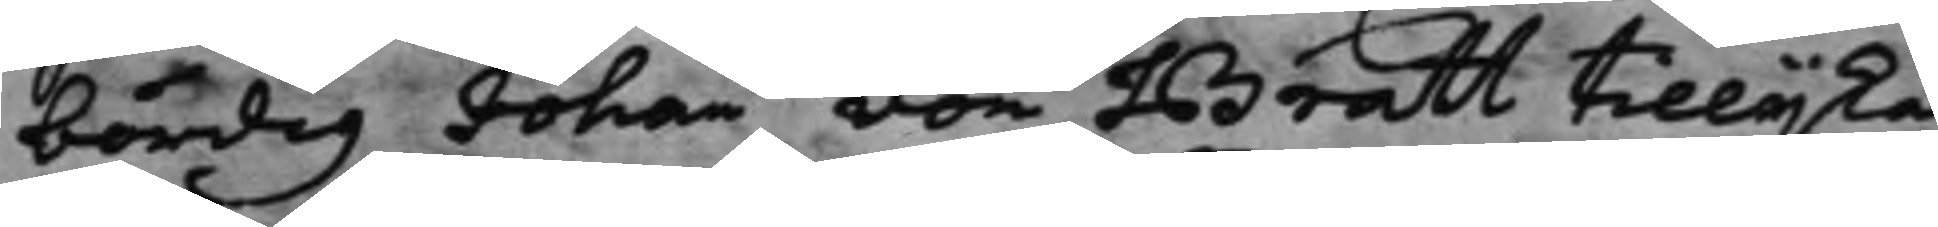bördig Johan von Bratt tillijka
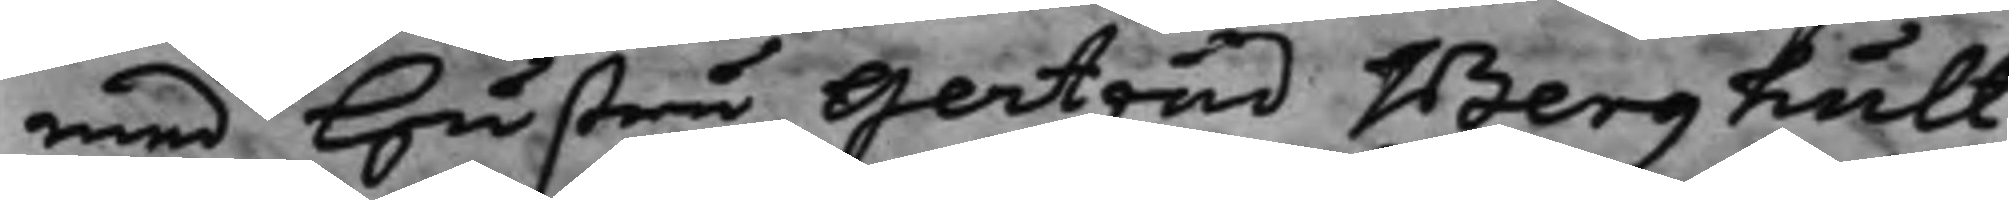med Hustru Gertrud Berghult
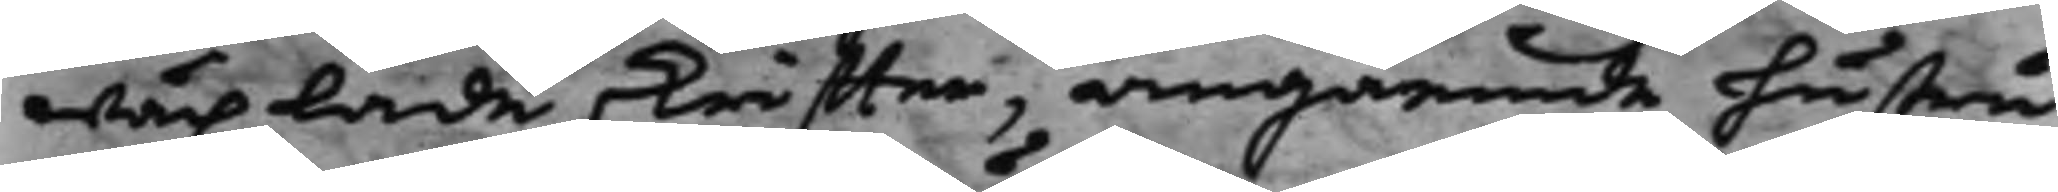wäxlade skriffter, angående hustru
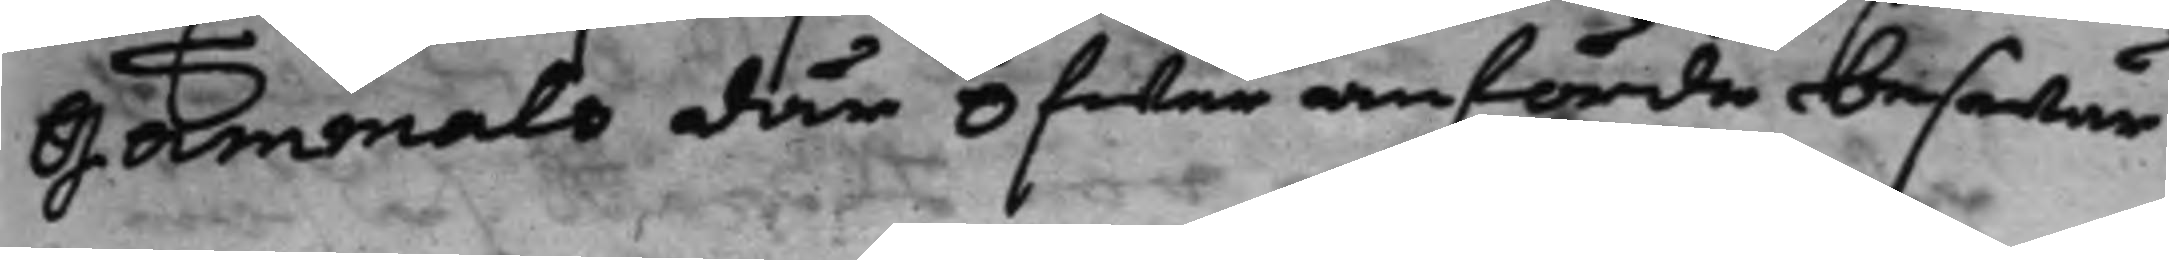Gammals där öfwer anförde beswär
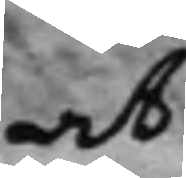at
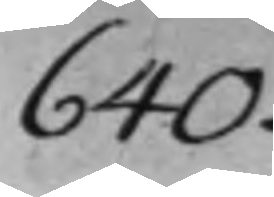640.
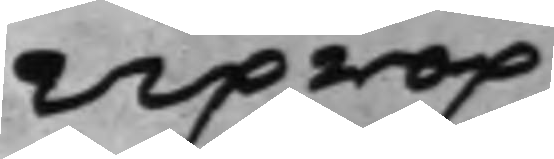uprop
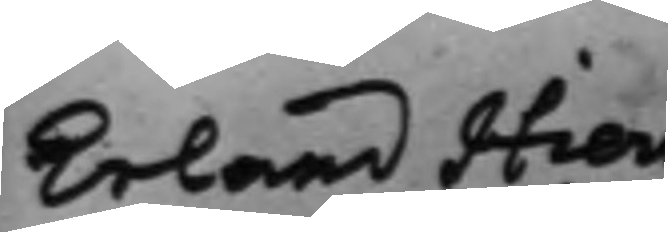Erland Hierne
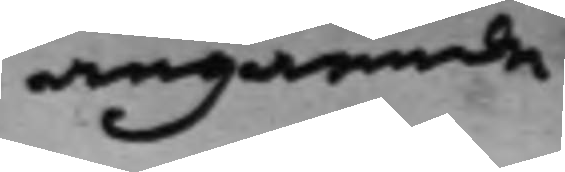angående
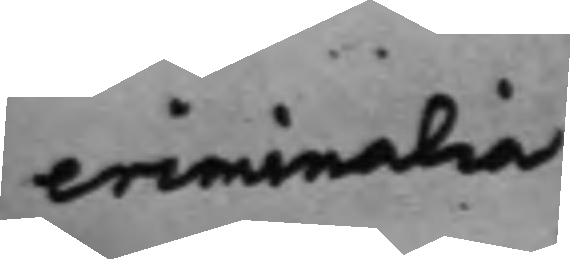criminalia
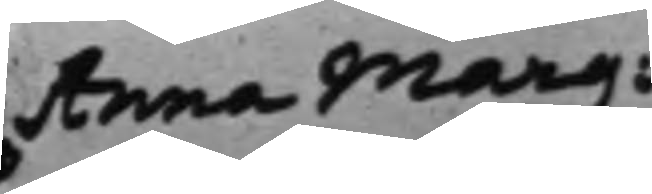Anna Marg:
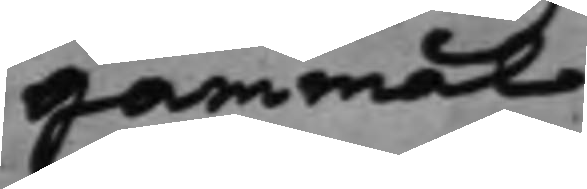Gammal
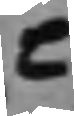C
